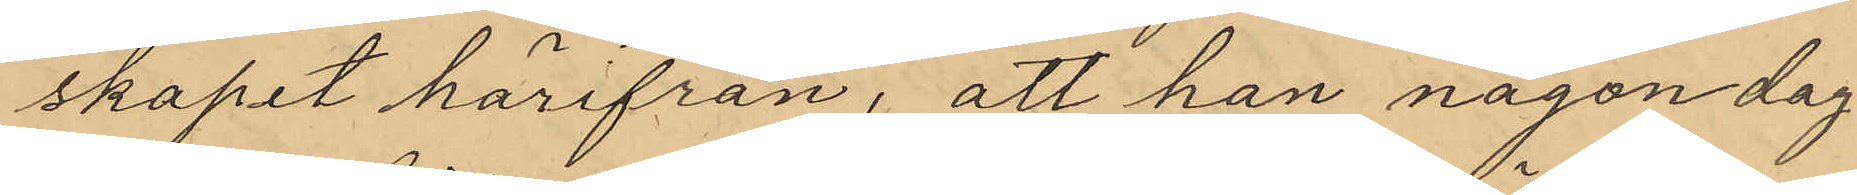skapet härifrån, att han någon dag
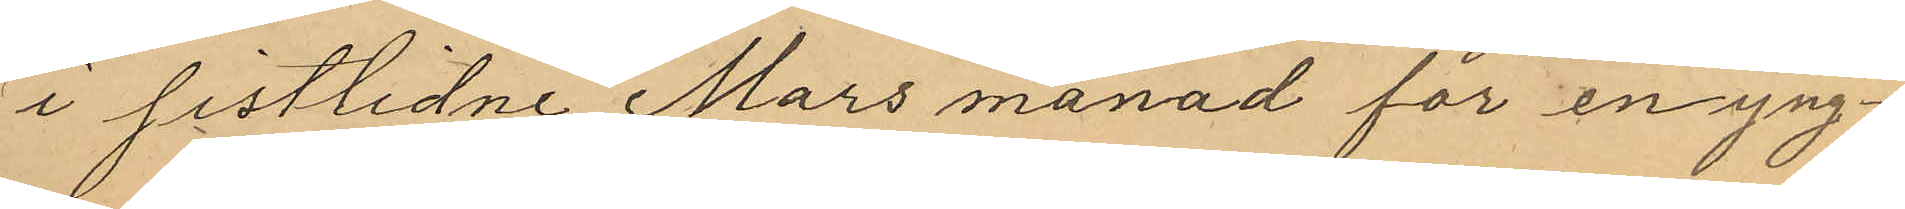i sistlidne Mars månad för en yng¬
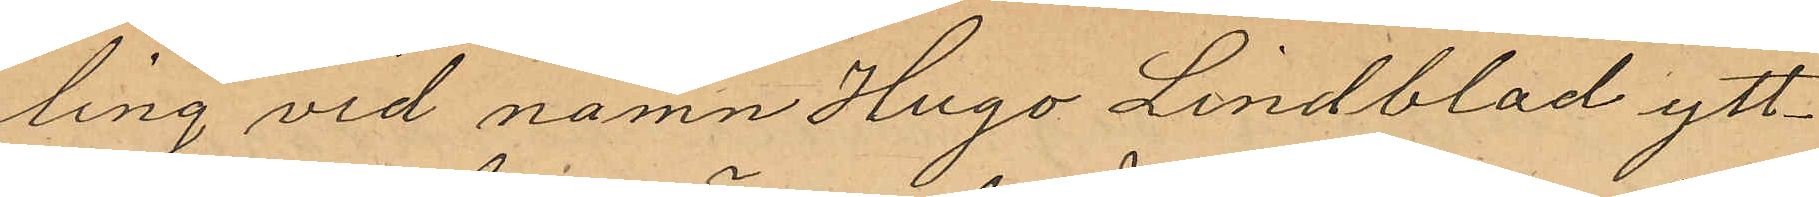ling vid namn Hugo Lindblad ytt¬
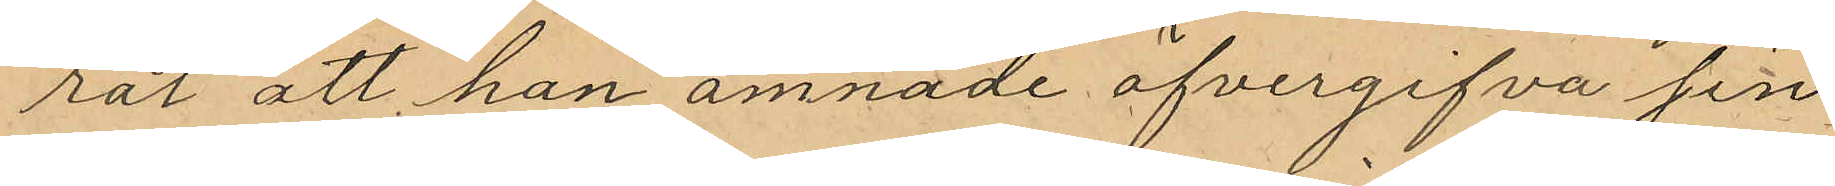rat att han ämnade öfvergifva sin
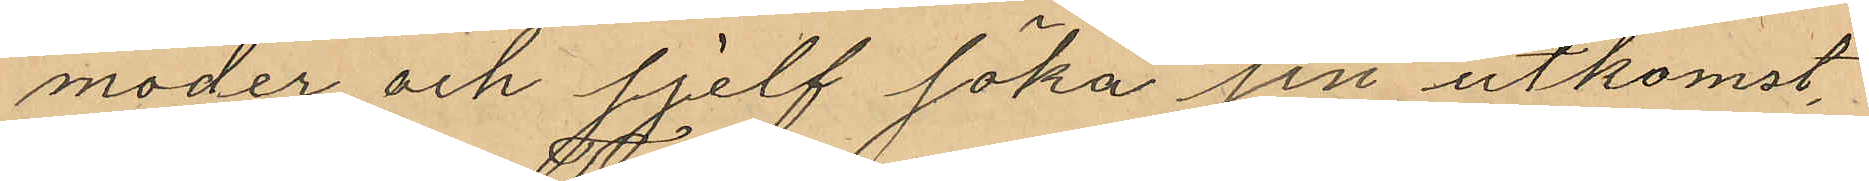moder och sjelf söka sin utkomst
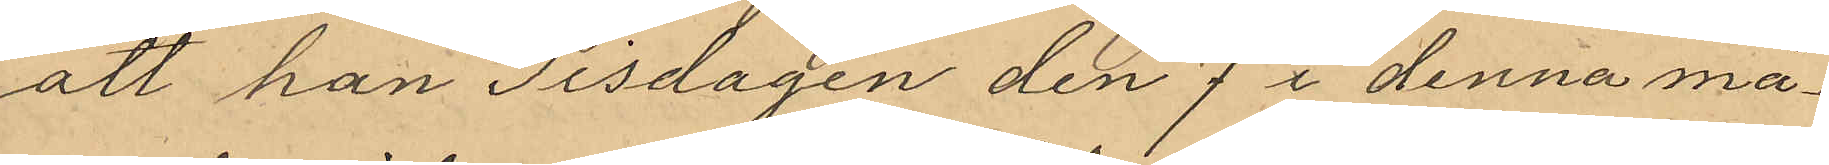att han Tisdagen den 7 i denna må¬
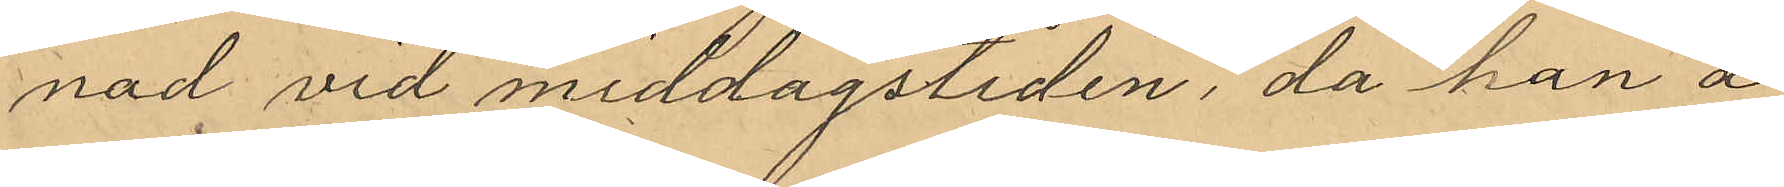nad vid middagstiden, då han å
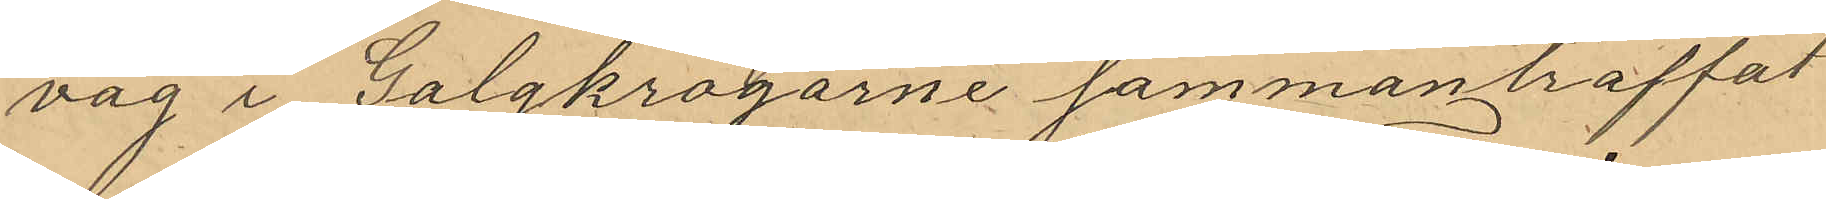väg i Galgkrogarne sammanträffat
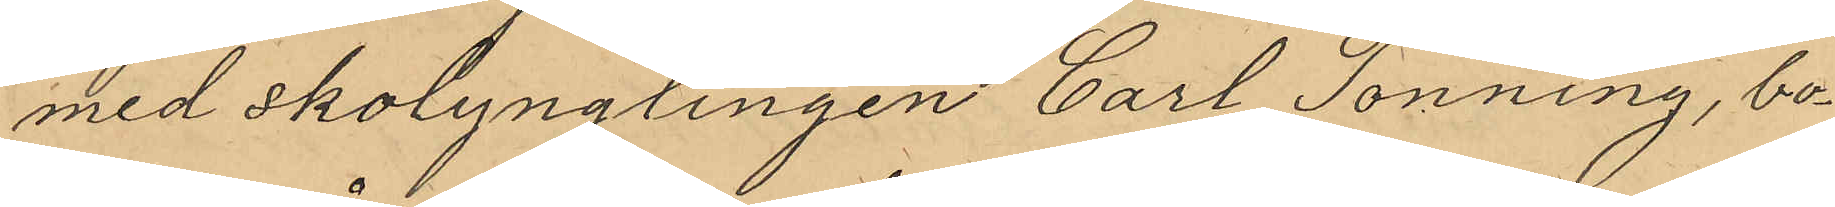med Skolynglingen Carl Tonning, bo¬
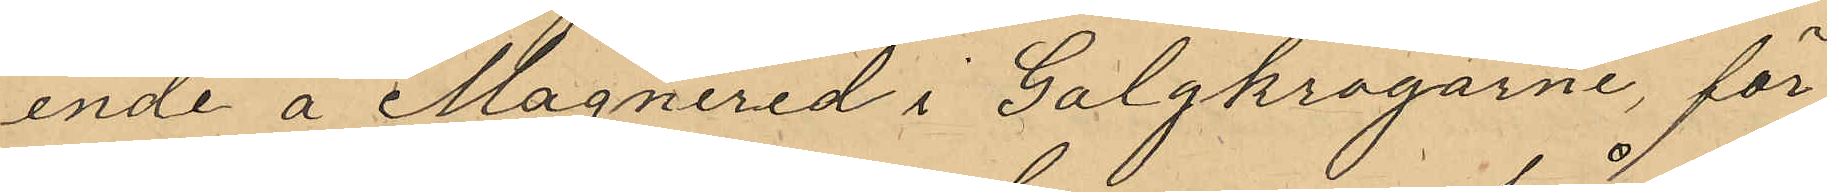ende å Magnered i Galgkrogarne, för
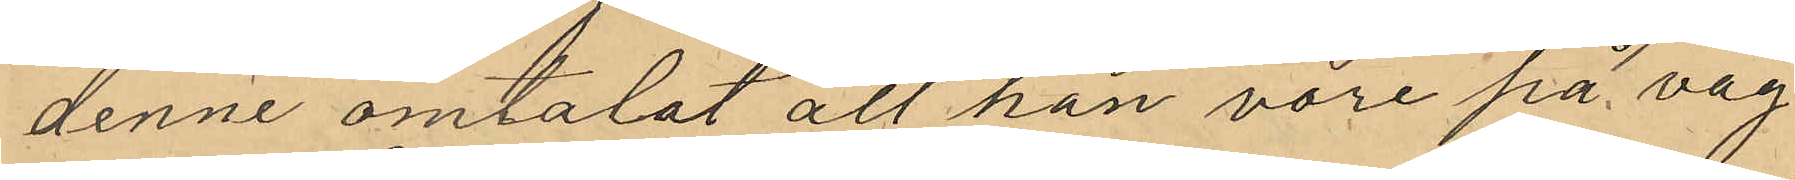denne omtalat att han vore på väg
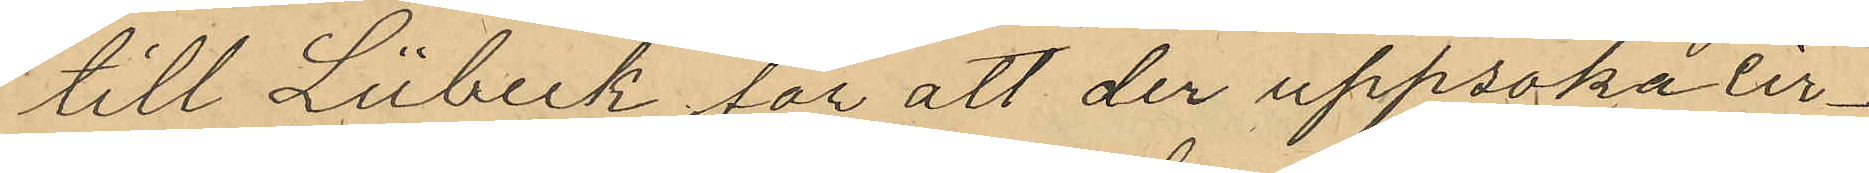till Lübeck för att der uppsöka cir¬
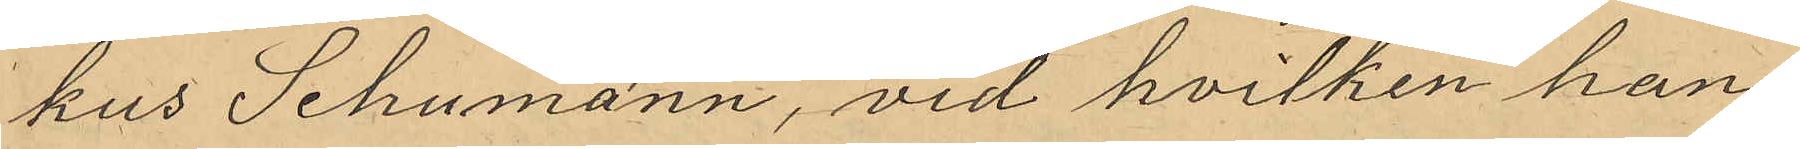kus Schumann, vid hvilken han
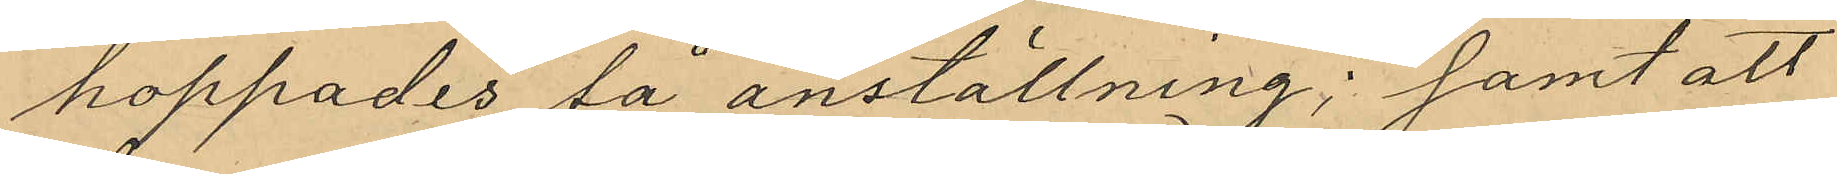hoppades få anställning; samt att
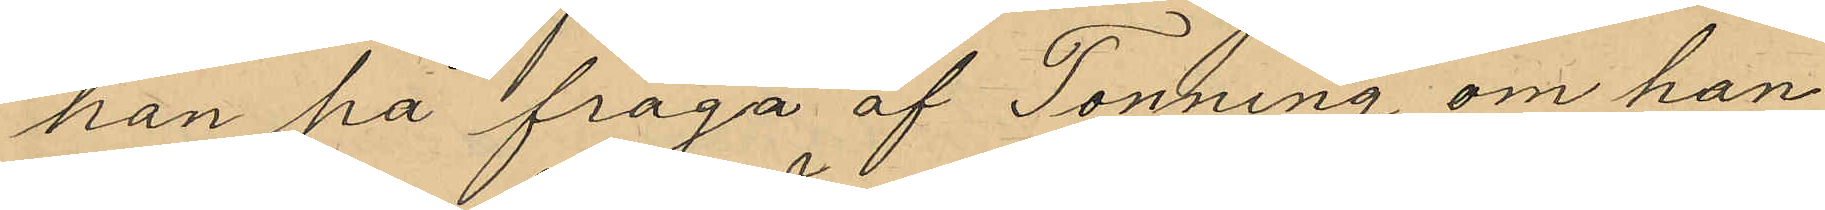han på fråga af Tonning om han
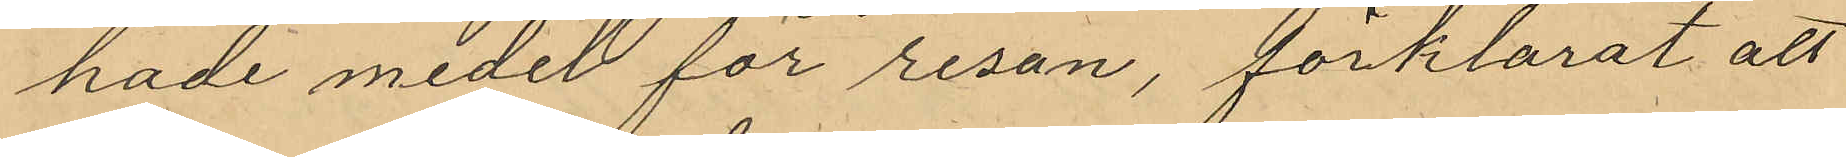hade medel för resan, förklarat att
